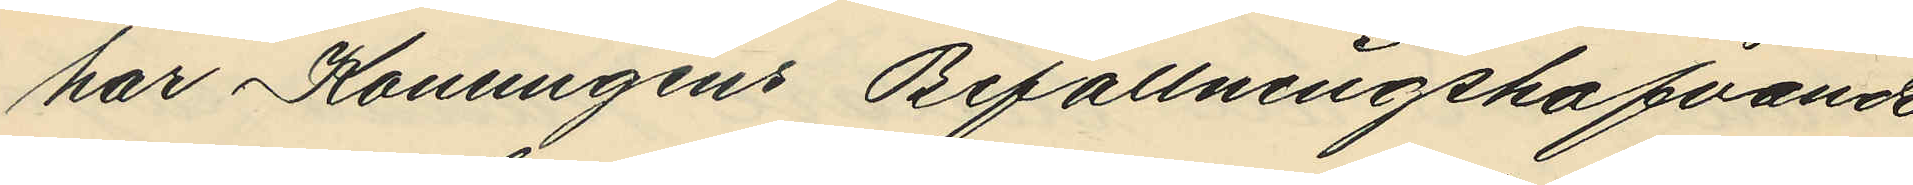har Konungens Befallningshafvande
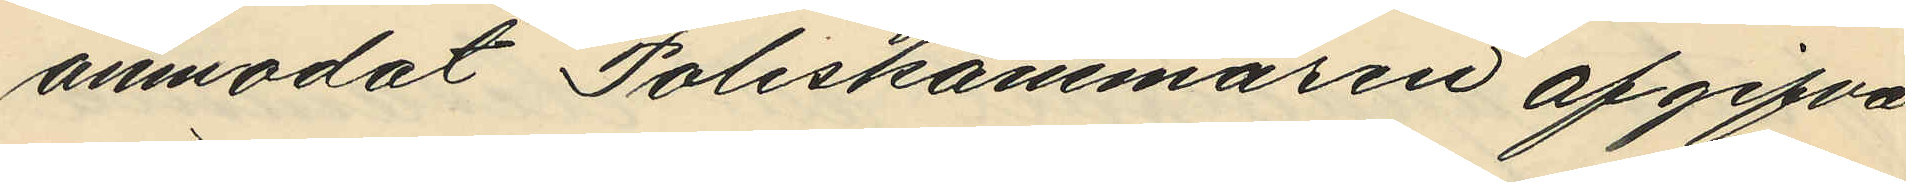anmodat Poliskammaren afgifva
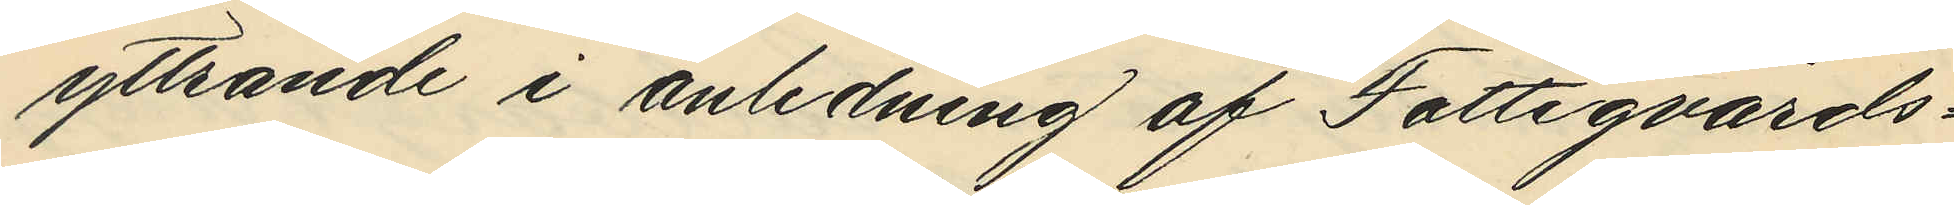yttrande i anledning af Fattigvårds¬
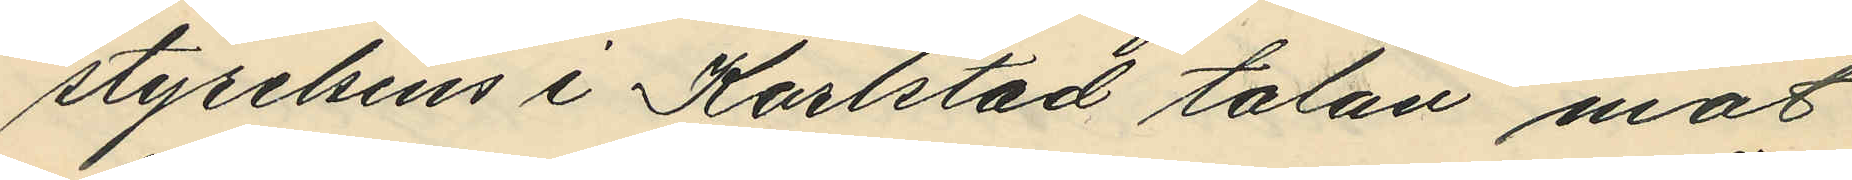styrelsens i Karlstad talan mot
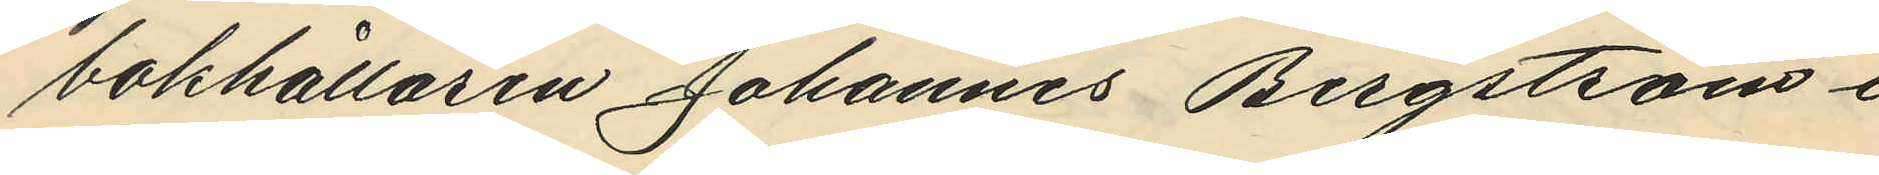bokhållaren Johannes Bergstsöm i
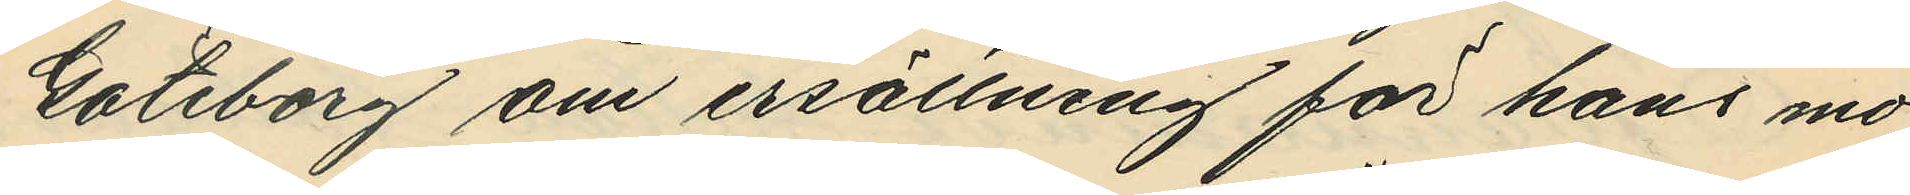Göteborg om ersättning för hans mo¬
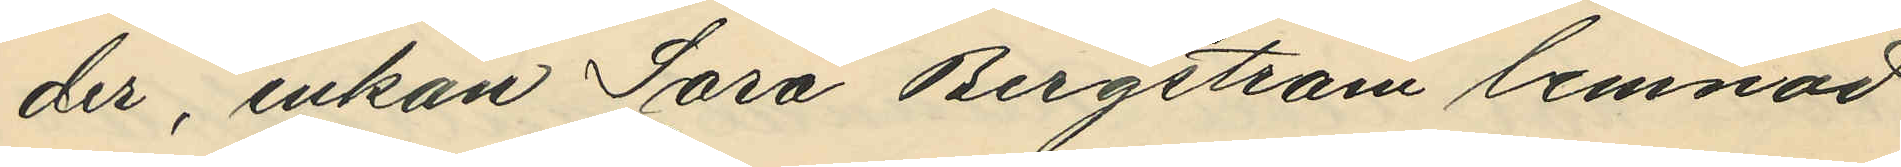der, enkan Sara Bergström lemnad
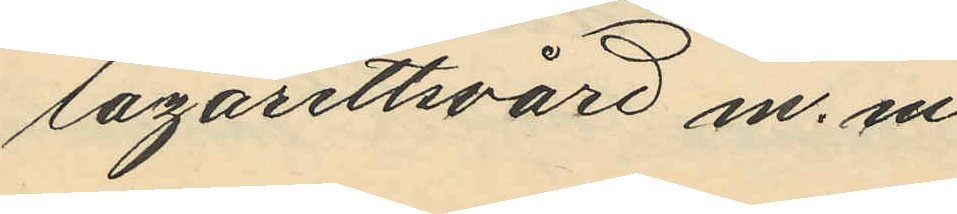lazarettsvård m.m.
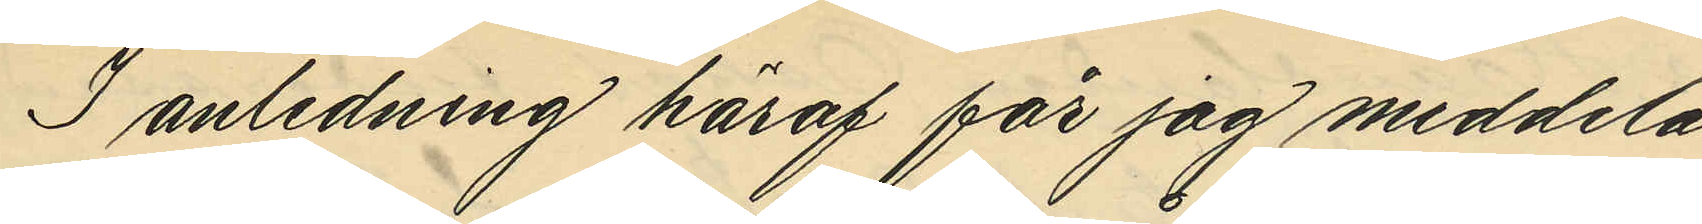I anledning häraf får jag meddela
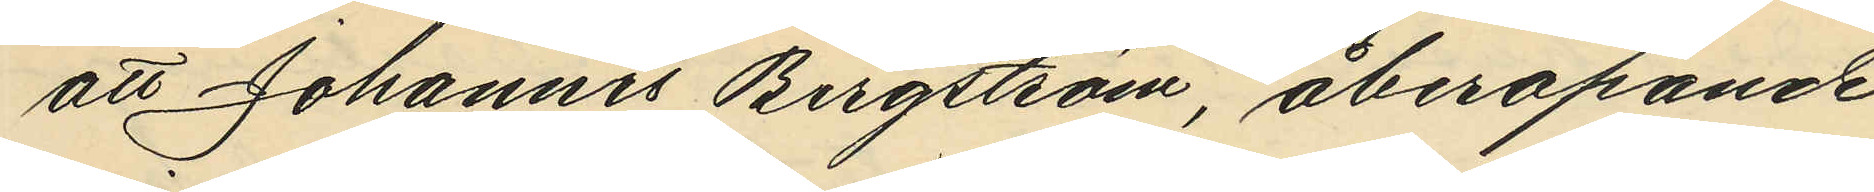att Johannes Bergström, åberopande
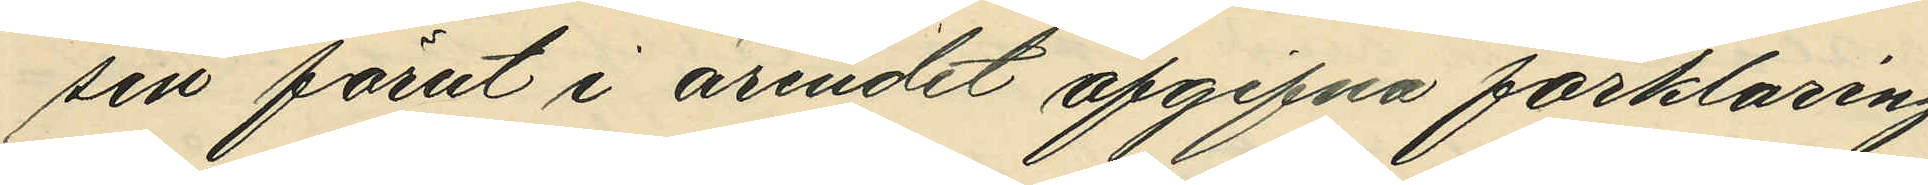sin förut i ärendet afgifna förklaring
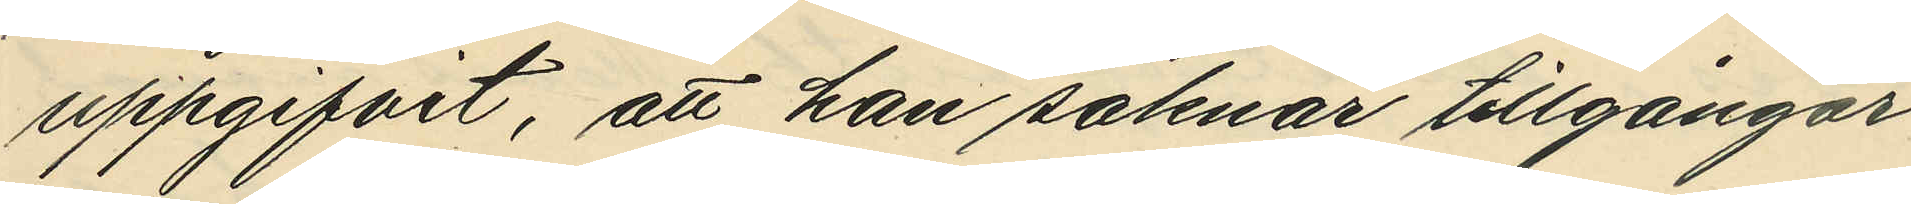uppgifvit, att han saknar tillgångar
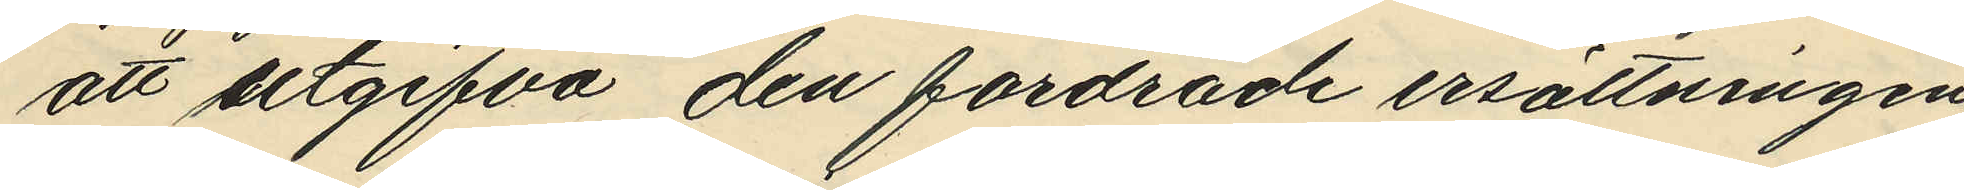att utgifva den fordrade ersättningen
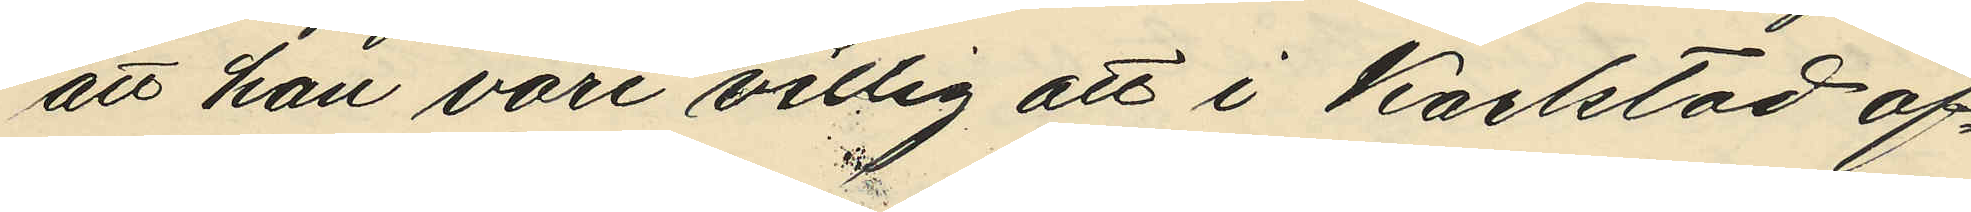att han vore villig att i Karlstad af¬
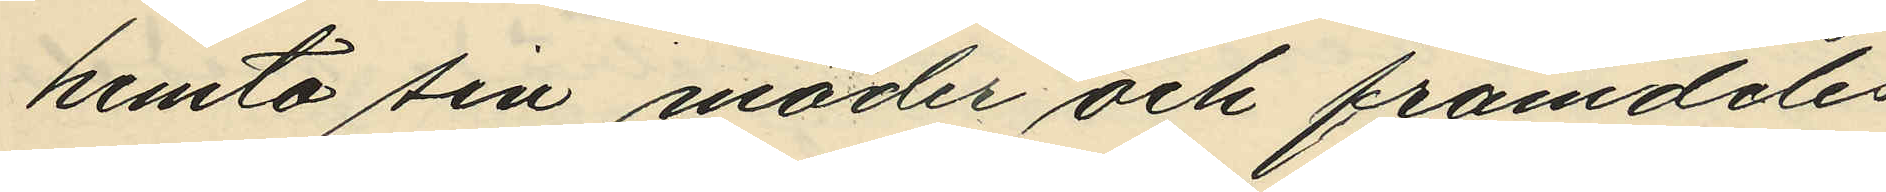hemta sin moder och framdeles
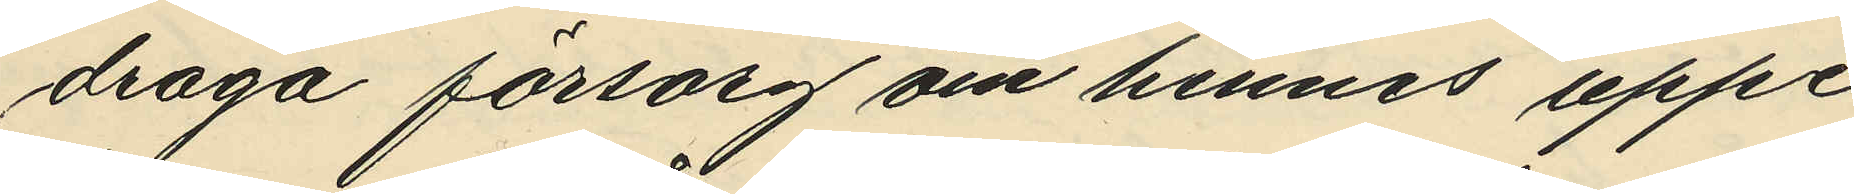draga försorg om hennes uppe¬
